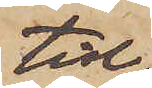tid
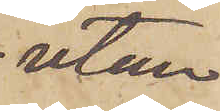utan
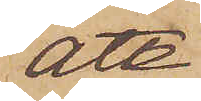att
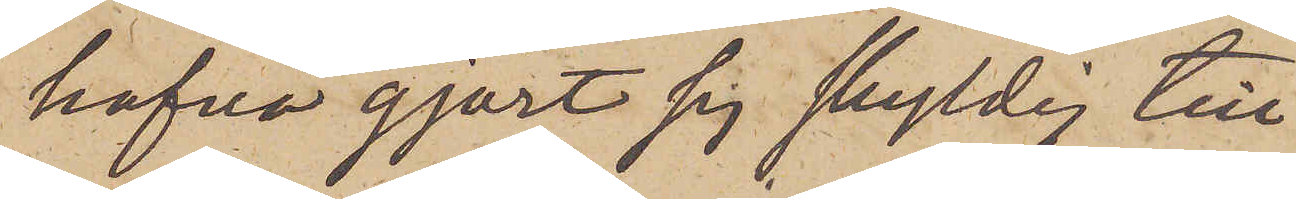hafva gjort sig skyldig till
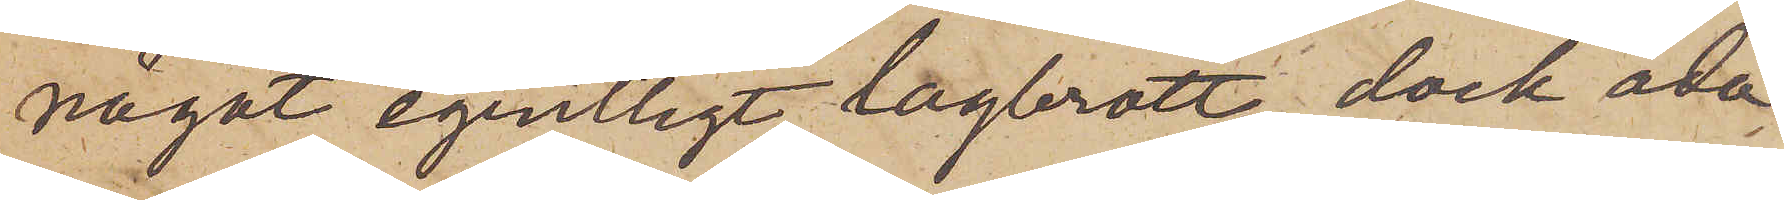något egentligt lagbrott, dock åda¬
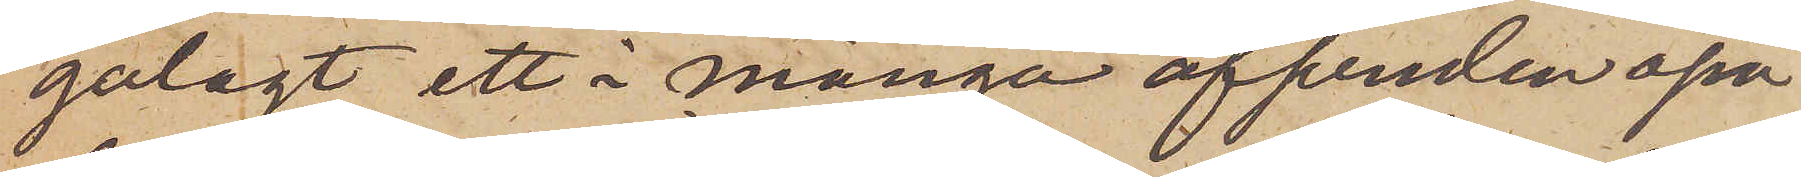galagt ett i många afseenden opå¬
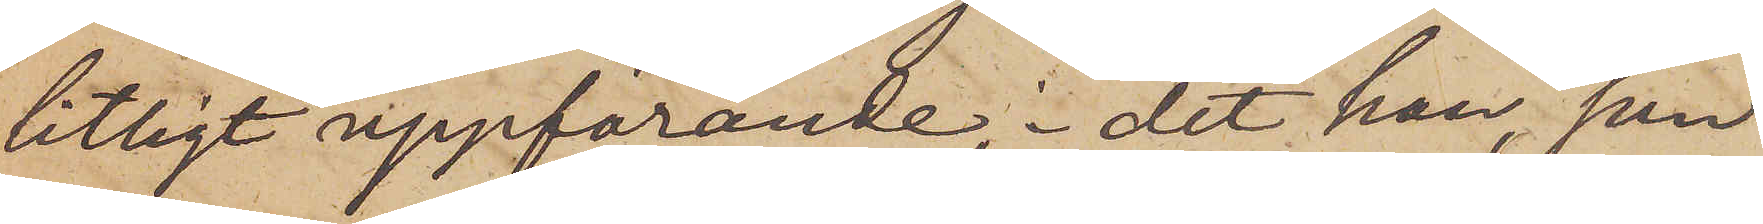litligt uppförande, i det han, som
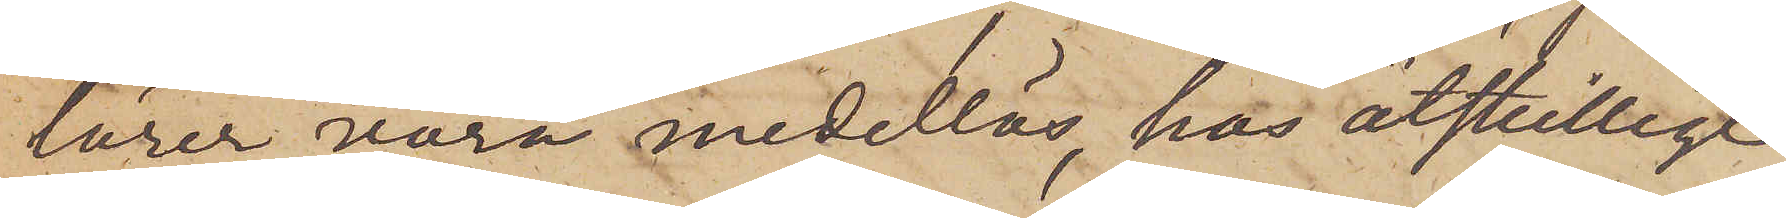lärer vara medellös, hos åtskillige
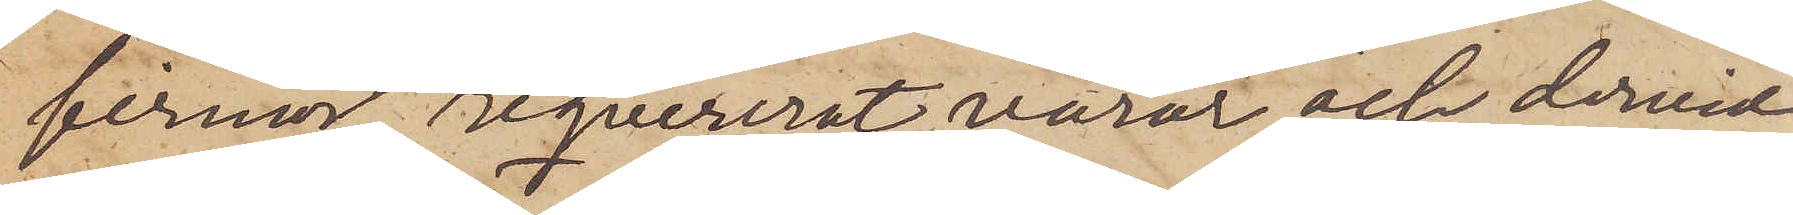firmor reqvirerat varor och dervid
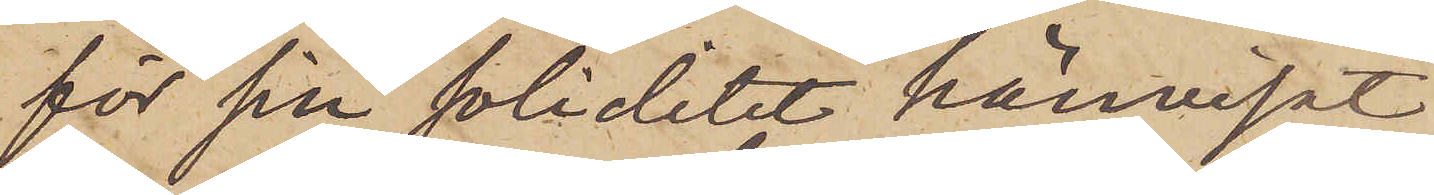för sin soliditet hänvisat
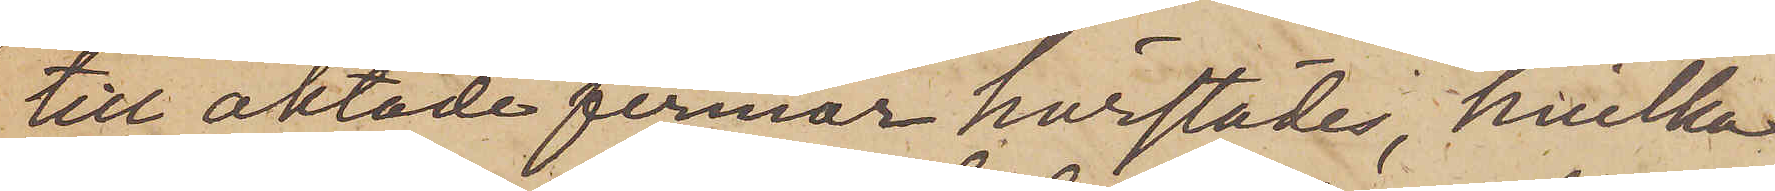till aktade firmor härstädes, hvilka
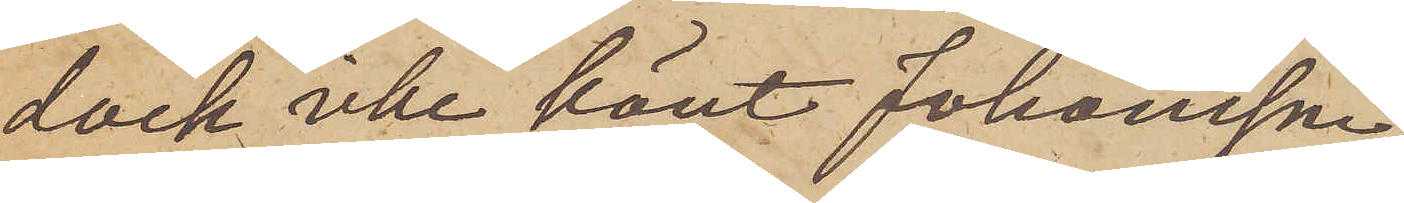dock icke känt Johansson,
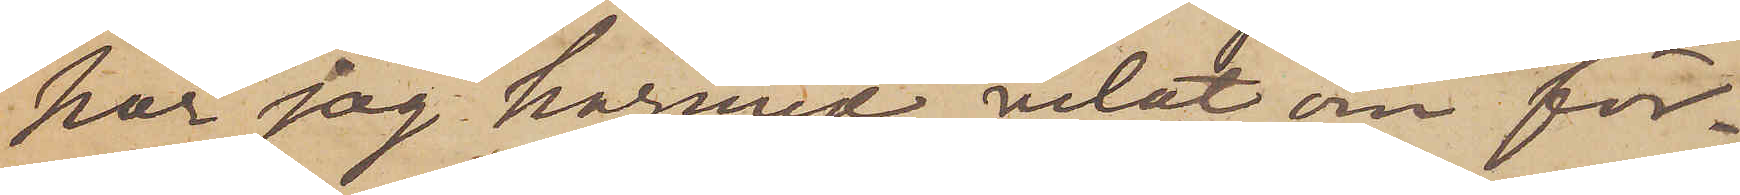har jag härmed velat om för¬
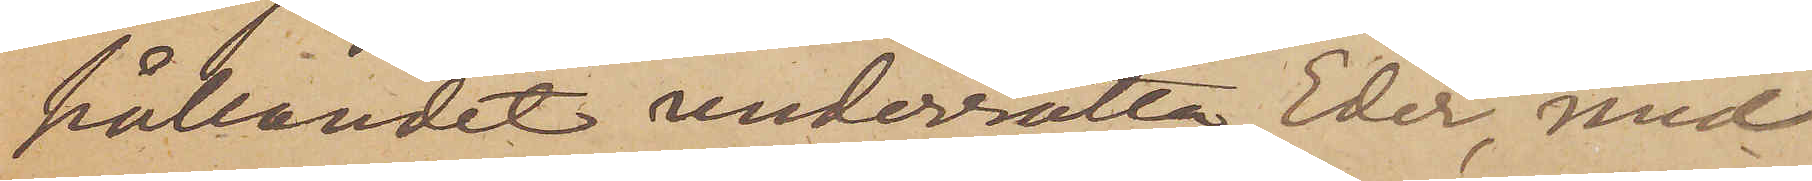hållandet underrätta Eder, med
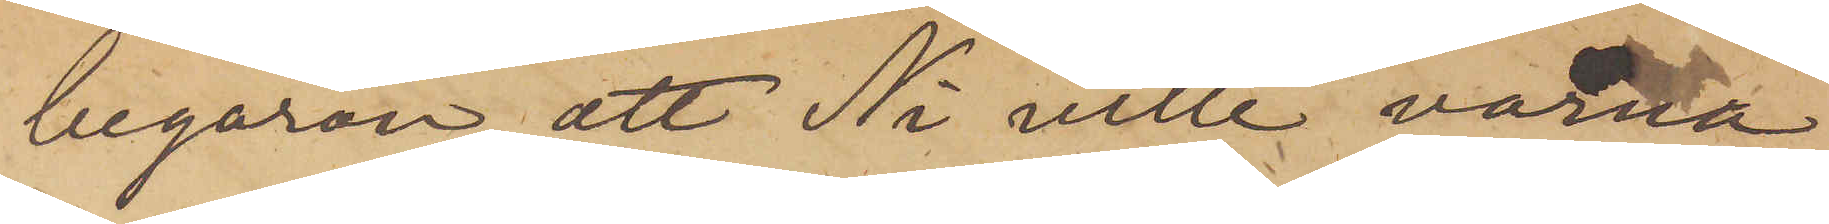begäran, att Ni ville varna
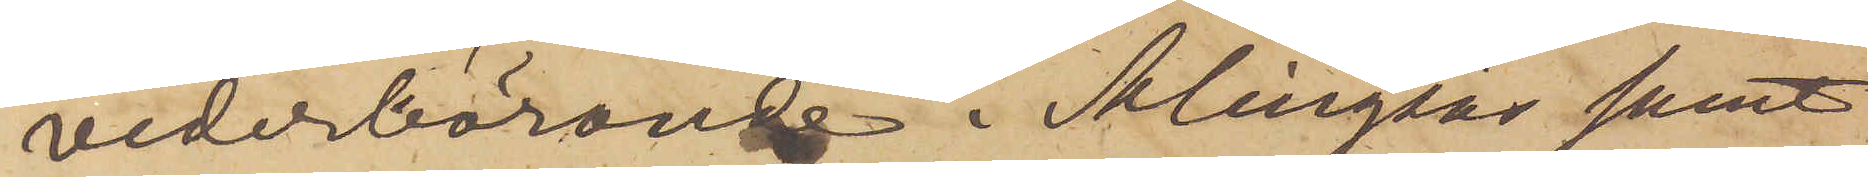vederbörande i Alingsås samt
